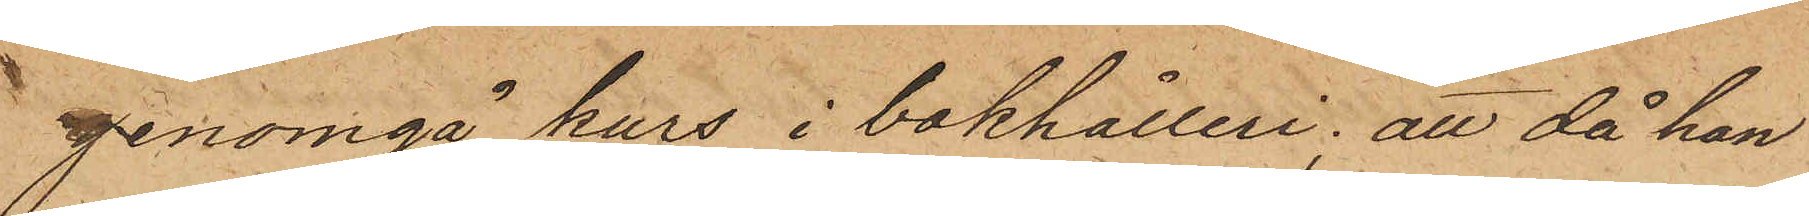genomgå kurs i bokhålleri; att då han
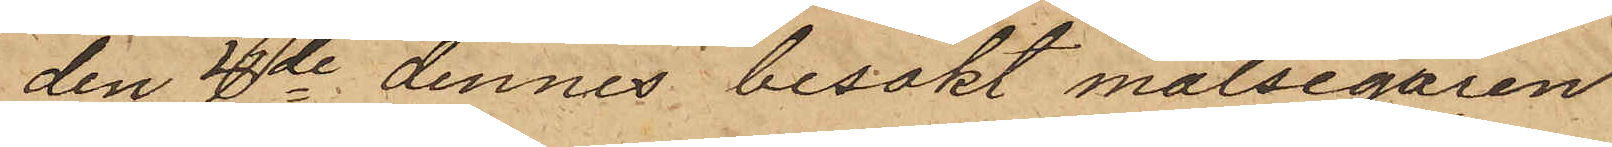den 4de dennes besökt målsegaren
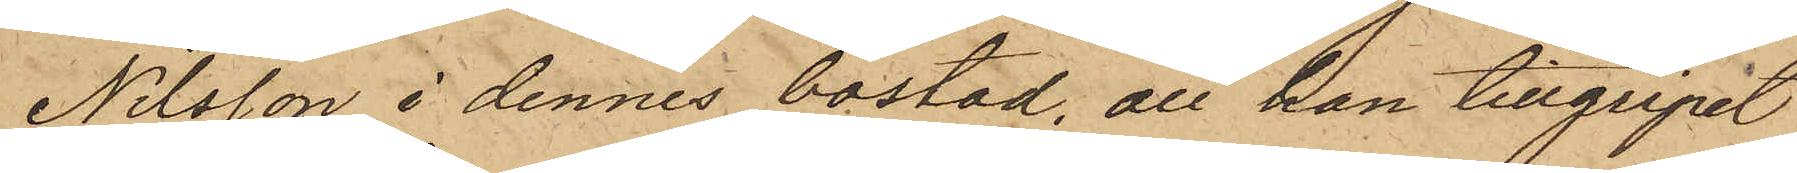Nilsson i dennes bostad, att han tillgripit
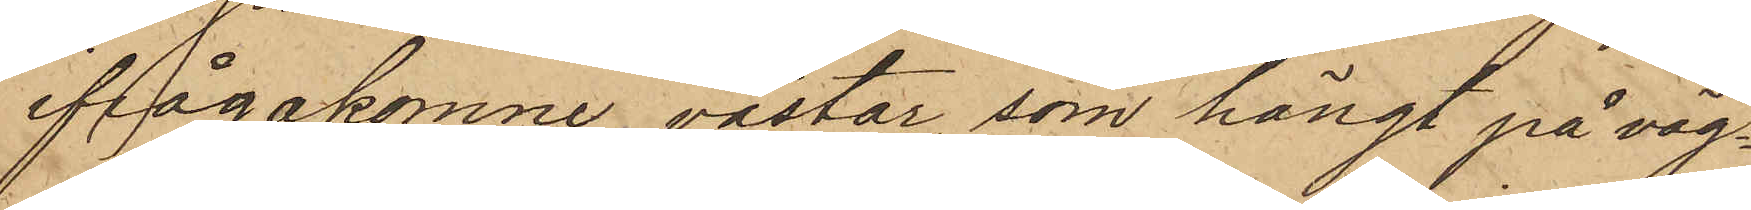ifrågakomne västar, som hängt på väg¬
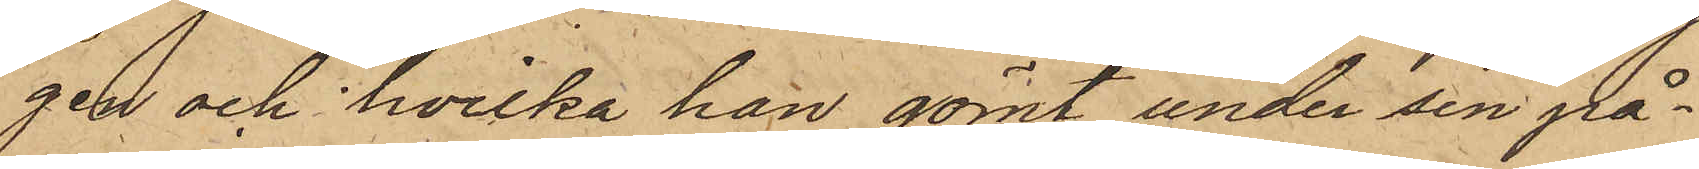gen och hvilka han gömt under sin på¬
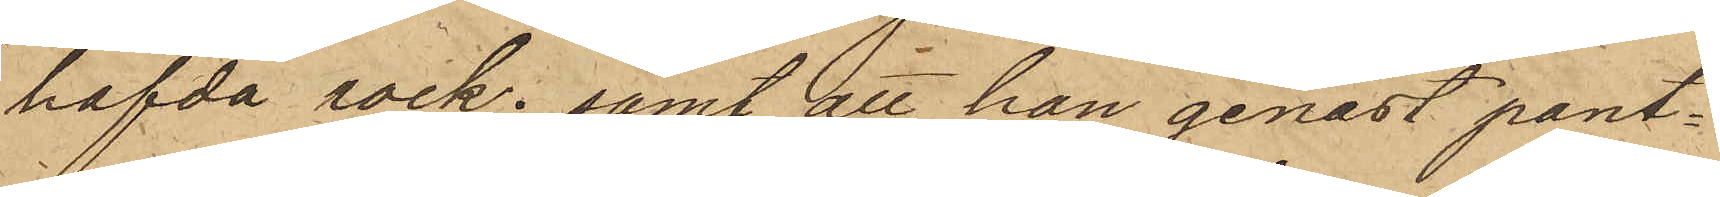hafvda rock; samt att han genast pant¬
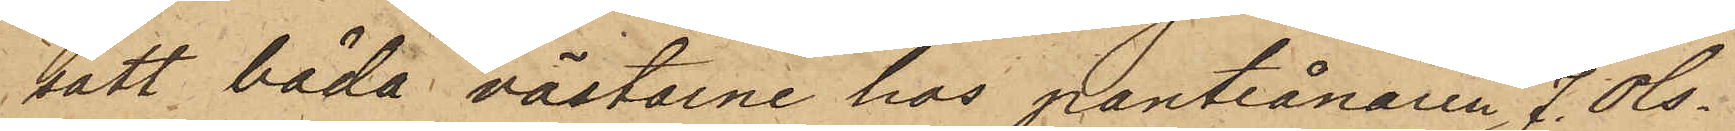satt båda västarne hos Pantlånaren J. Ols¬
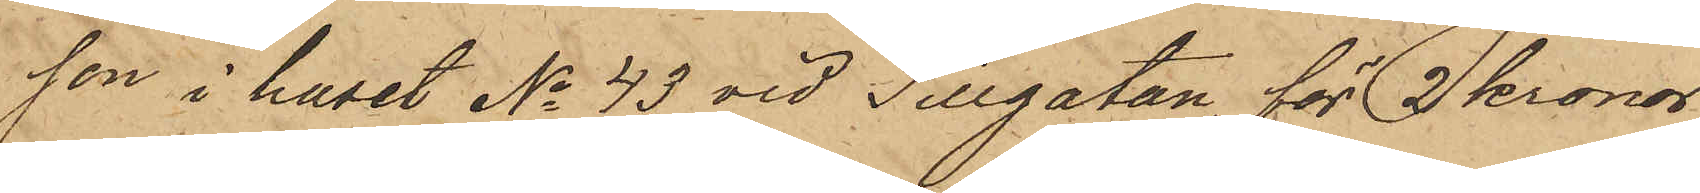son i huset No 43 vid Sillgatan, för 3 Kronor
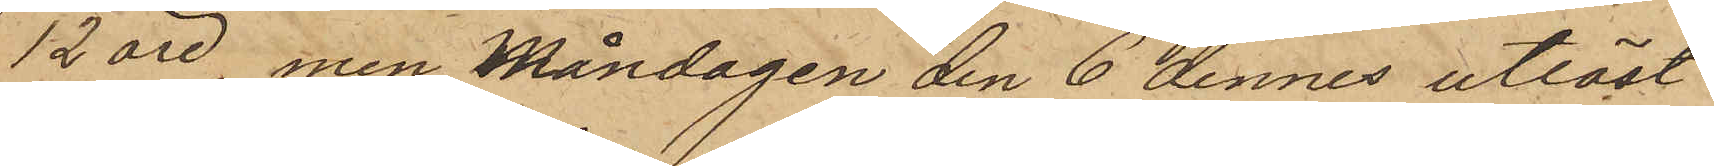12 öre, men Måndagen den 6 dennes utlöst
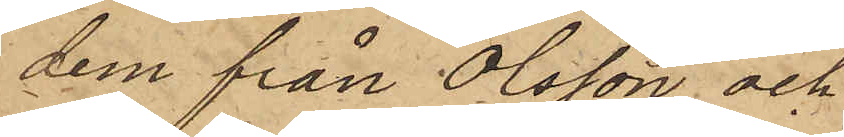dem från Olsson och
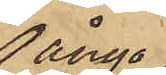ånyo
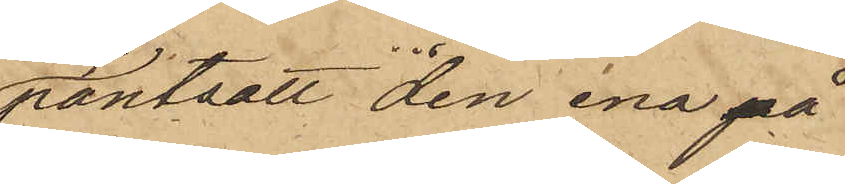pantsatt den ena på
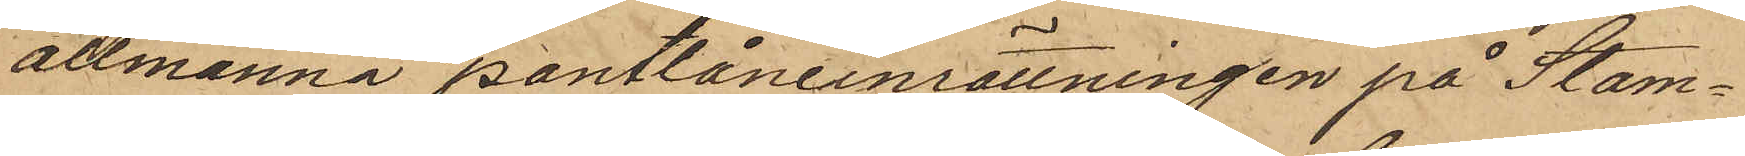allmänna pantlåneinrättningen på Stam¬
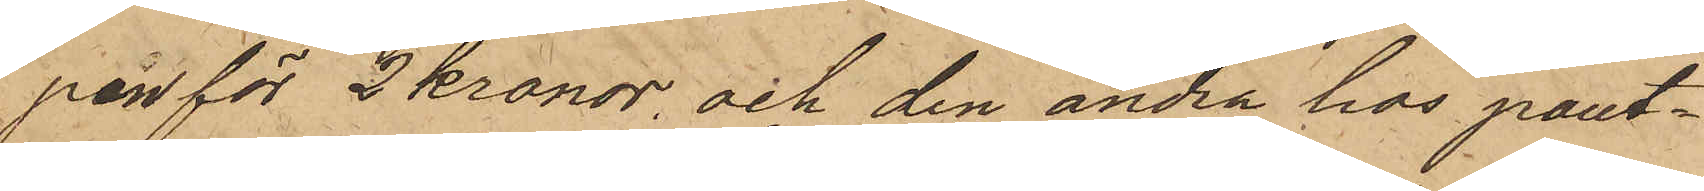pen för 2 kronor, och den andra hos pant¬
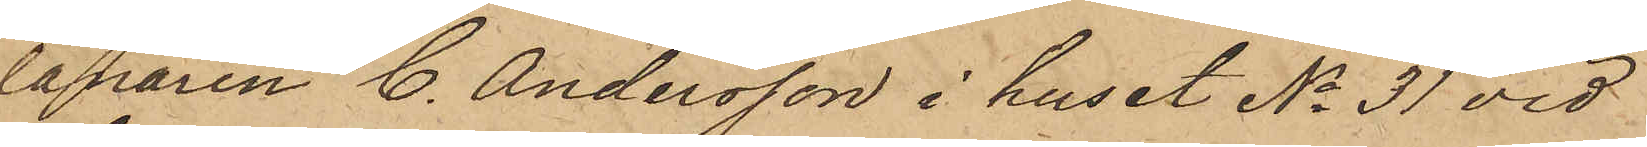lanaren C. Andersson i huset No 31 vid
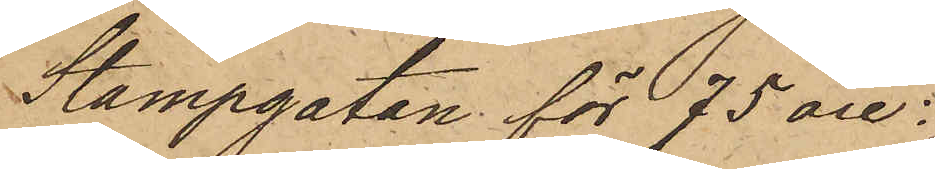Stampgatan för 75 öre:
